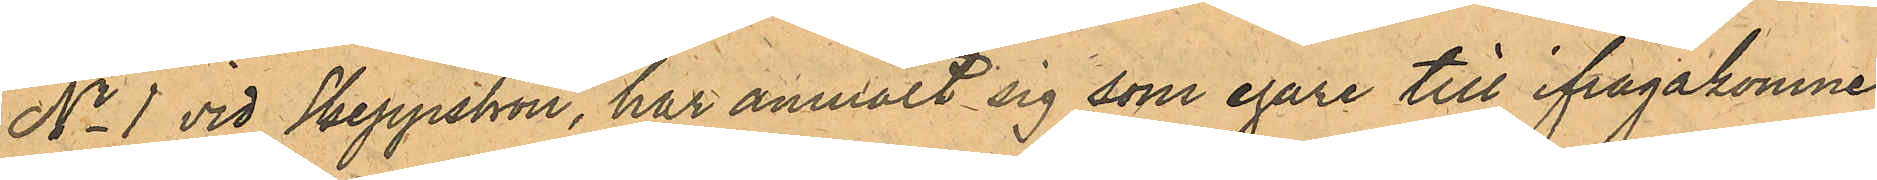No 1 vid Skeppsbron, har anmält sig som egare till ifrågakomne
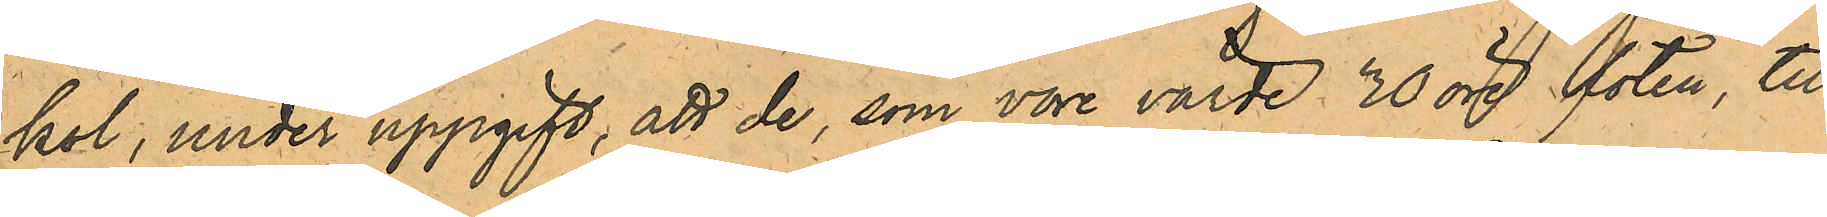kal, under uppgift, att de, som vore värde 30 öre foten, till¬
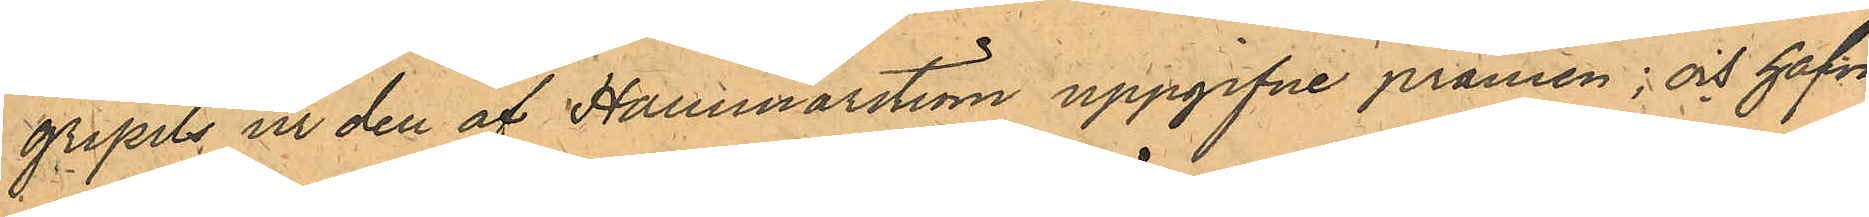gripits ur den af Hammarström uppgifne pråmen; och hafva
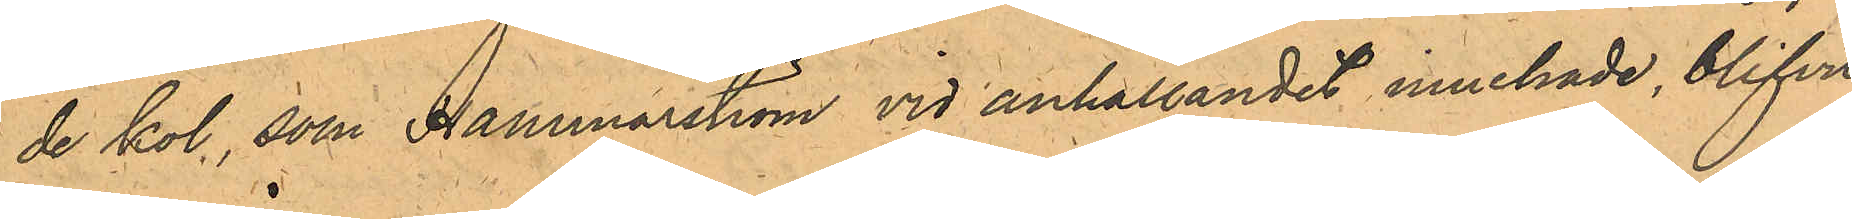de kol, som Hammarström vid anhållandet innehade, blifvit
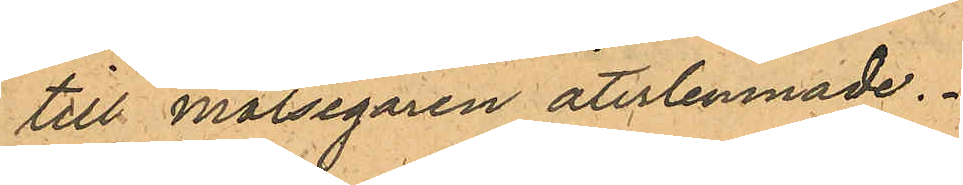till Målsegaren återlemnade.
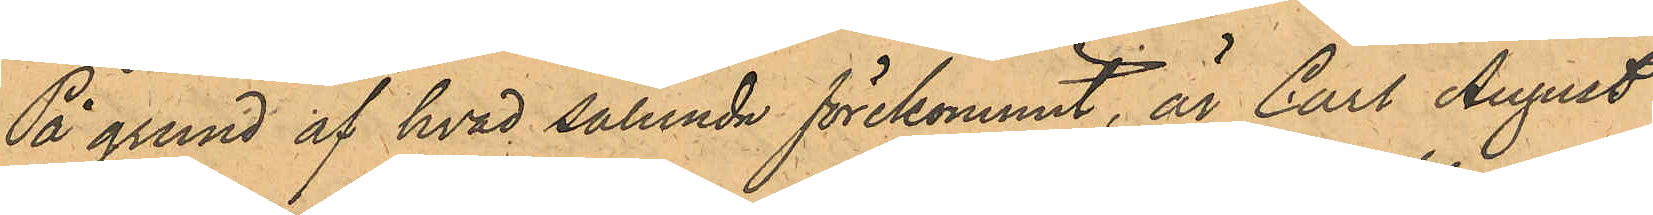På grund af hvad sålunda förekommit, är Carl August
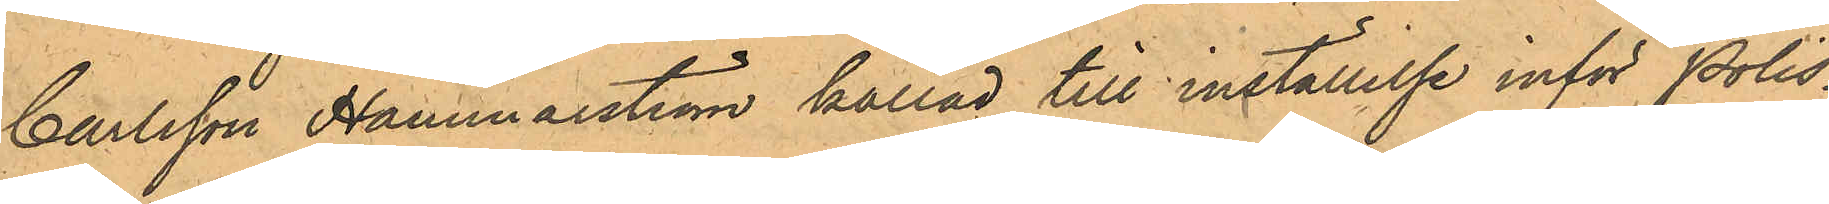Carlsson Hammarström kallad till inställelse inför Polis¬
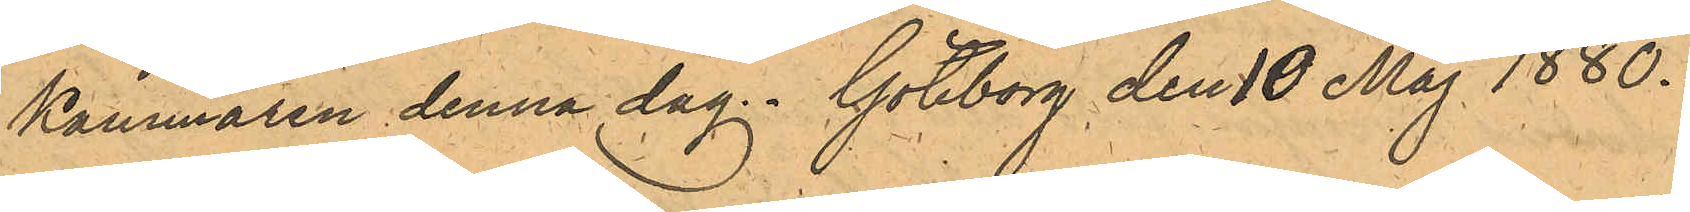Kammaren denna dag. Göteborg den 10 Maj 1880.
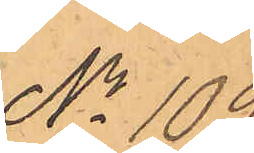No 109.
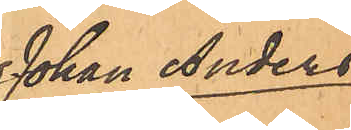Johan Anders
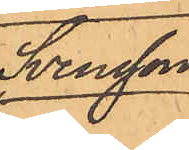Svensson.
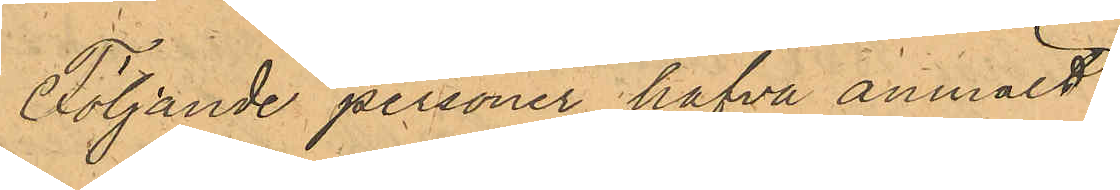Följande personer hafva anmält:
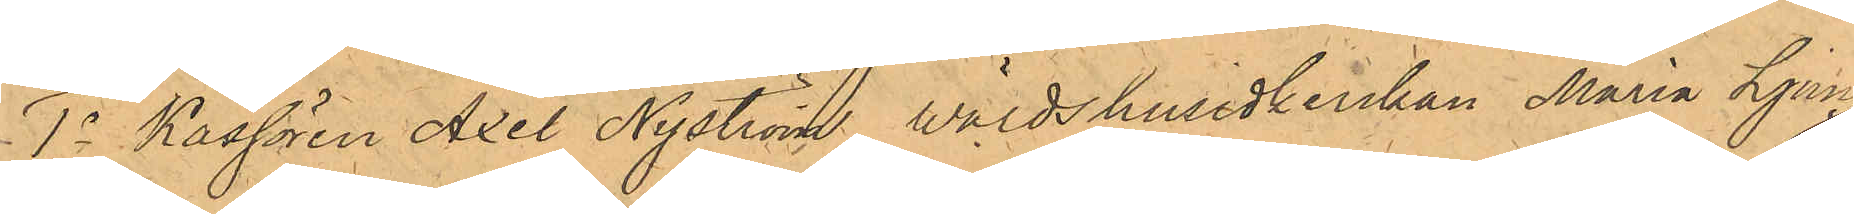1o Kassören Axel Nyström, wärdshusidkerskan Maria Ljung¬
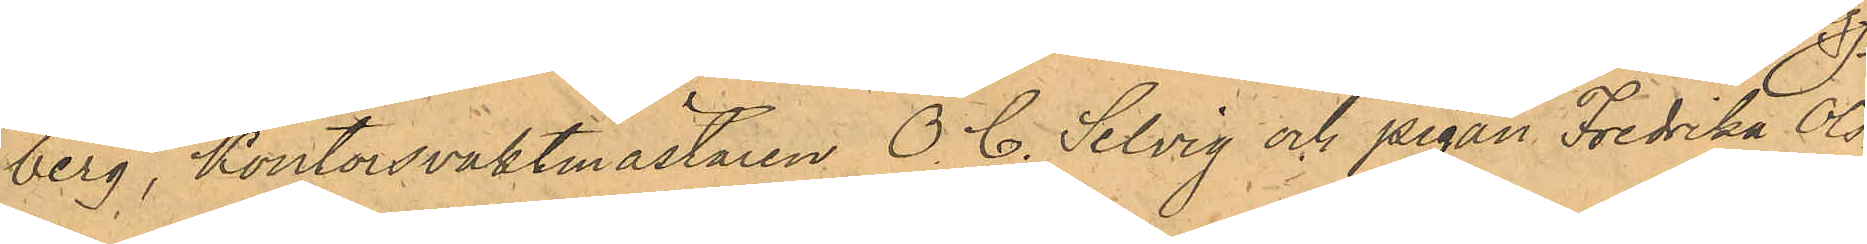berg, Kontorsvaktmästaren O. C. Selvig och pigan Fredrika Ols¬
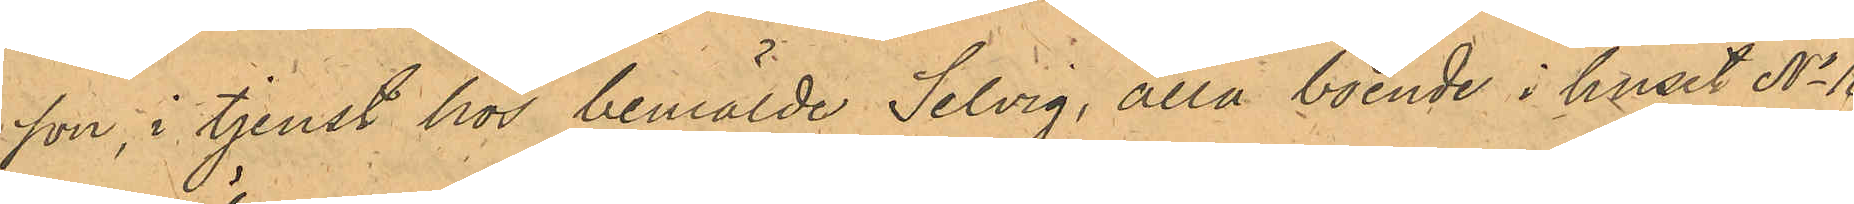son, i tjenst hos bemälde Selvig, alla boende i huset No 10
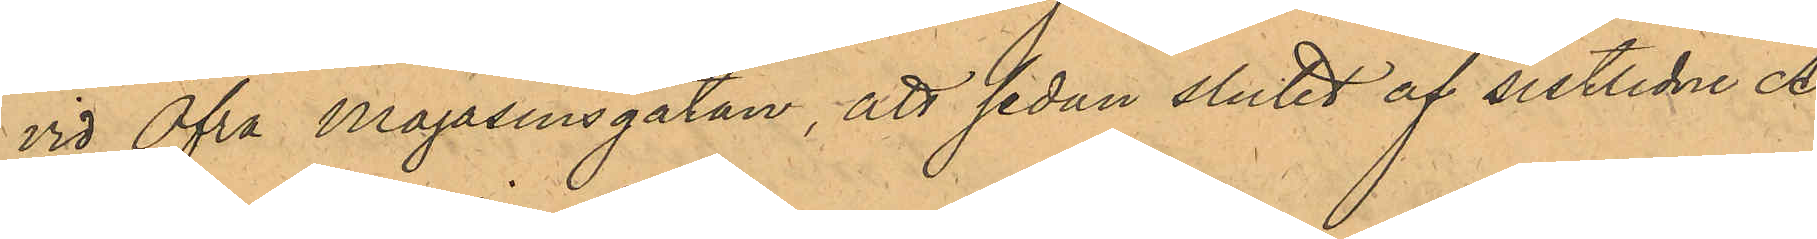vid Öfra Magasinsgatan, att sedan slutet af sistlidne A¬
